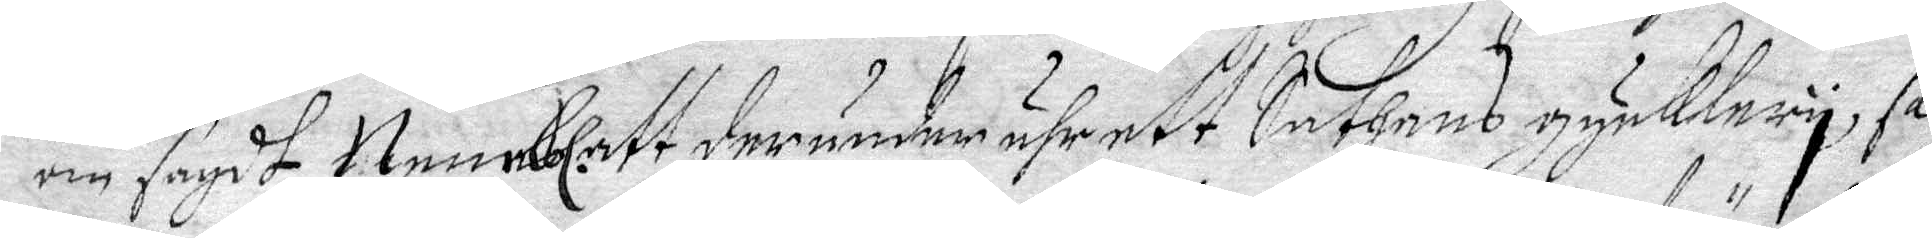om sagdt, Nembl. att derunder ähr ett Sathans gycklery, så
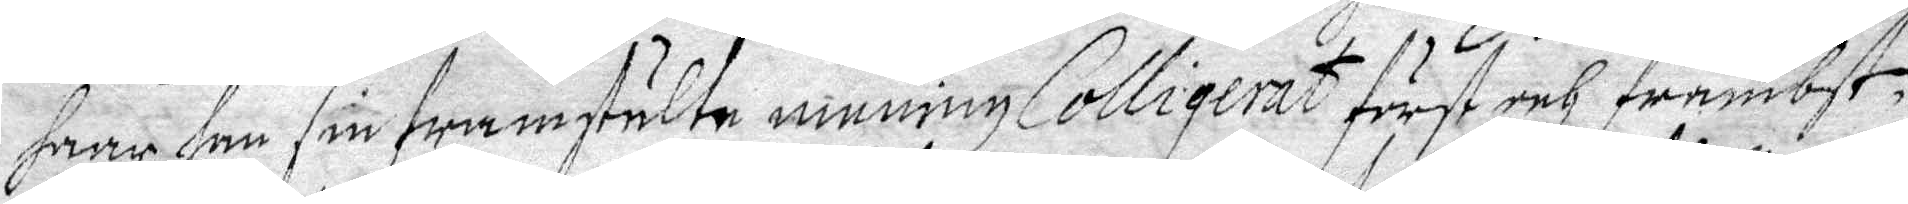haar han sin framstälte mening Colligerat först och främbst,
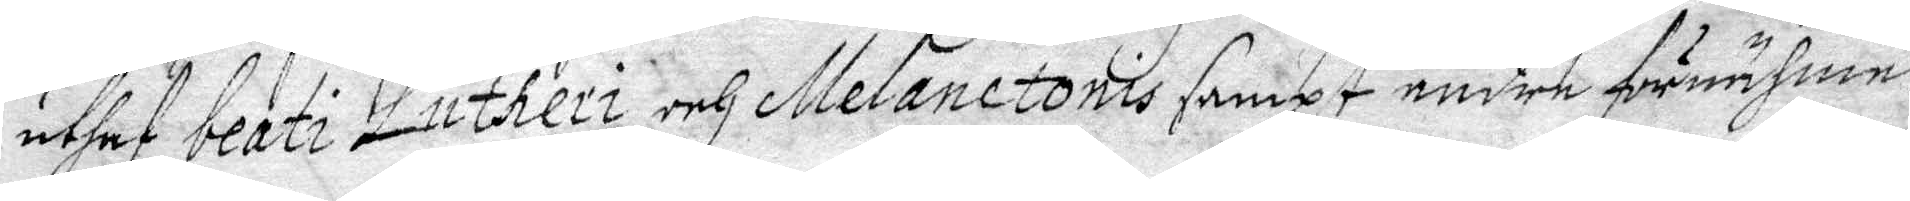uthaf beati Lutheri och Melanctonis sampt andre förnähme
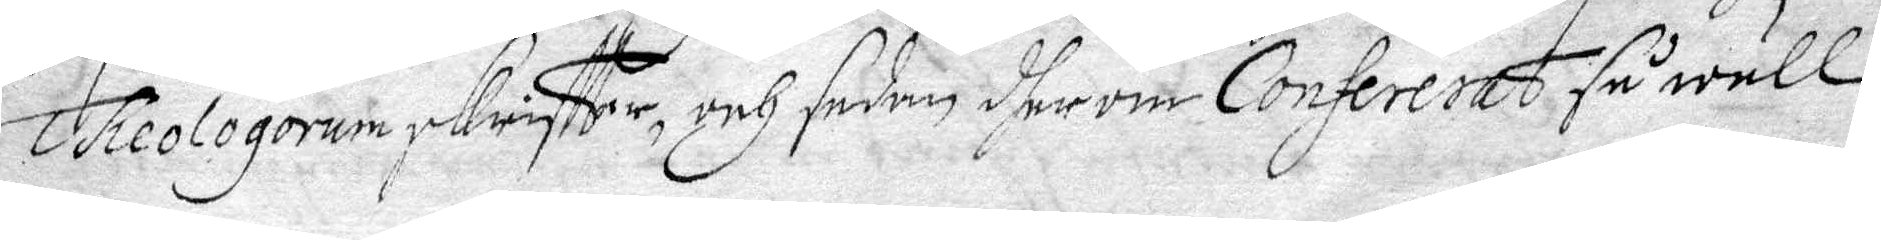Theologorum skriftter, och sedan dherom Confererat så wäll
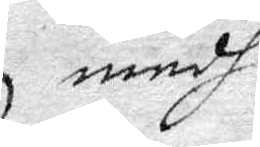medh
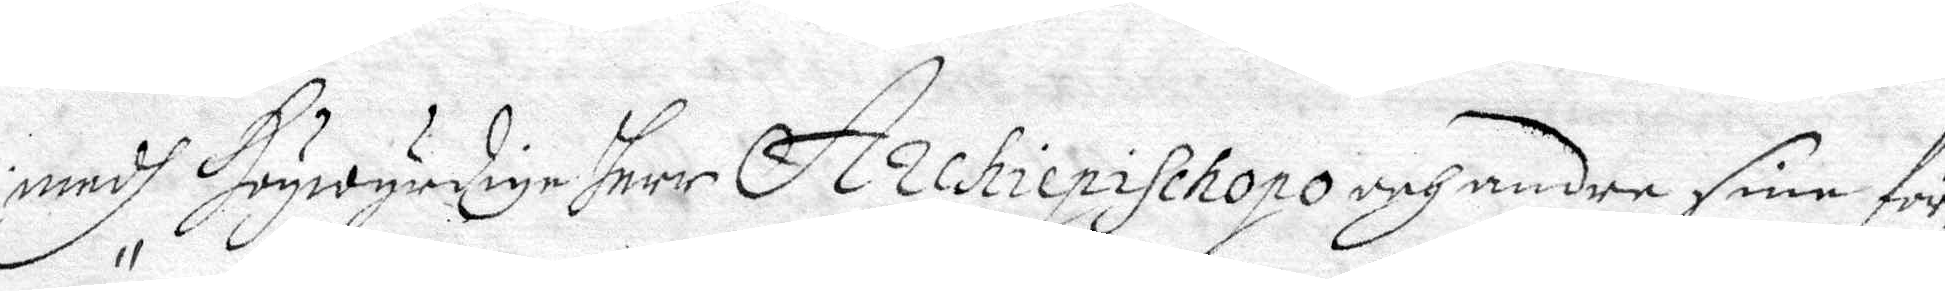medh Högwyrdige herr Archiepischopo och andra sine för¬
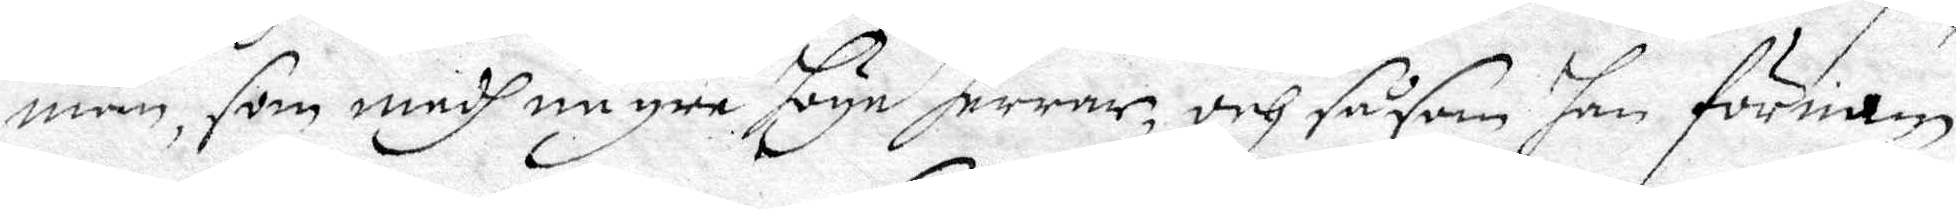män, som medh någre höge Herrar, och såsom han förnam
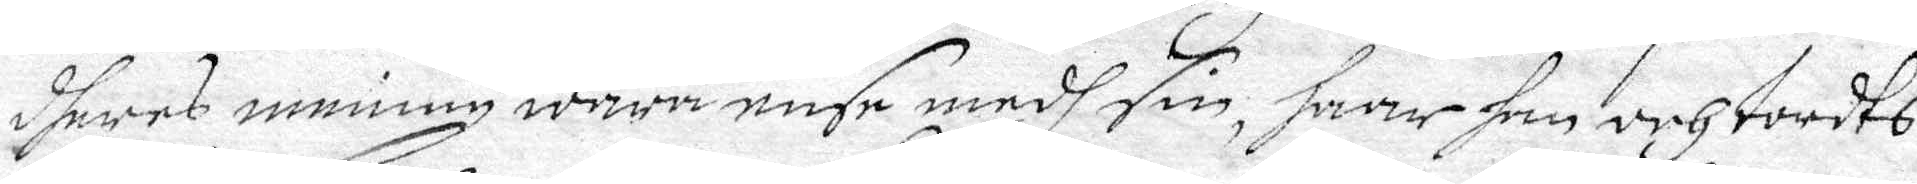dheres mening wara ense medh sin, haar han och tordts
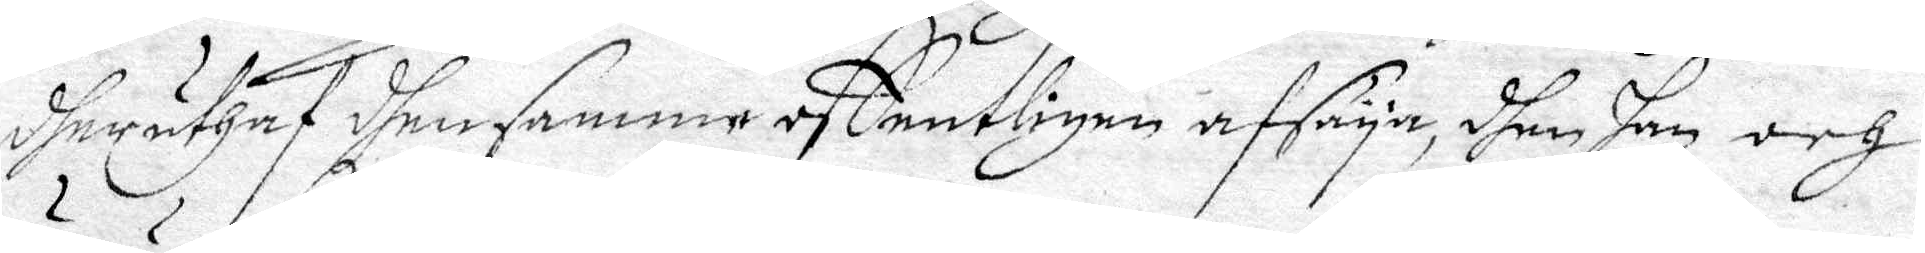dherufhas dhen samme offentligen afsäyga, dhen han och
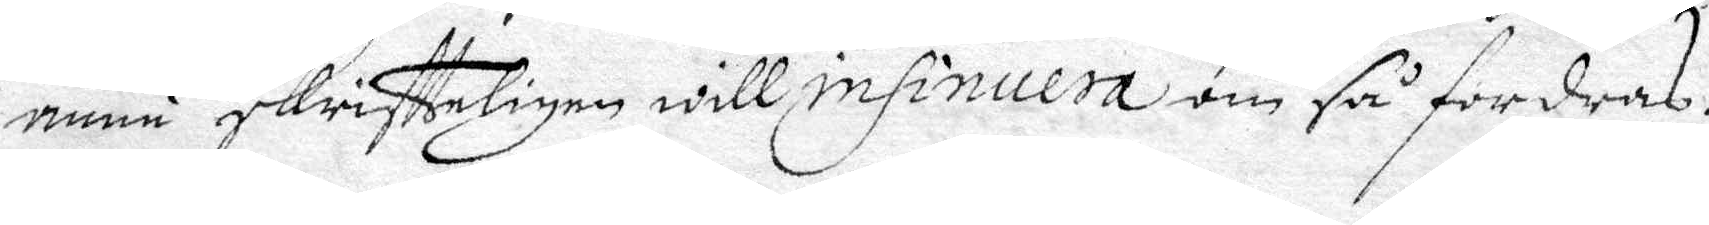ännu skriftteligen will insinuera om så fordras.
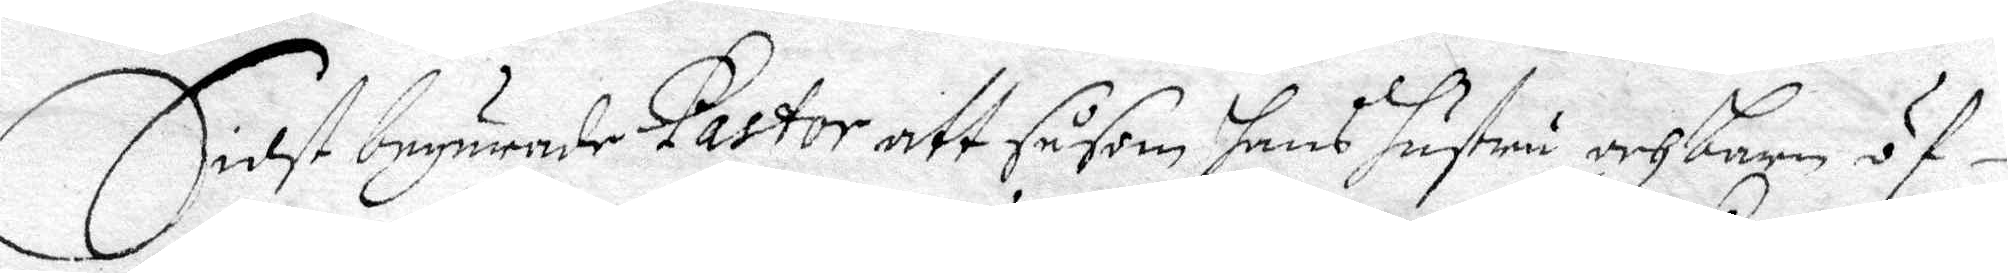Sidst begärade Pastor att så som hans hustru och barn öf¬
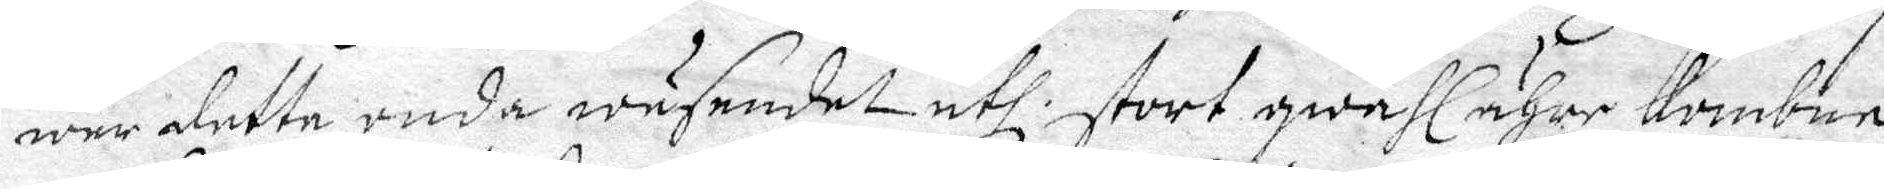wer detta onda wäsendet uthi stort qwahl ähre kombna
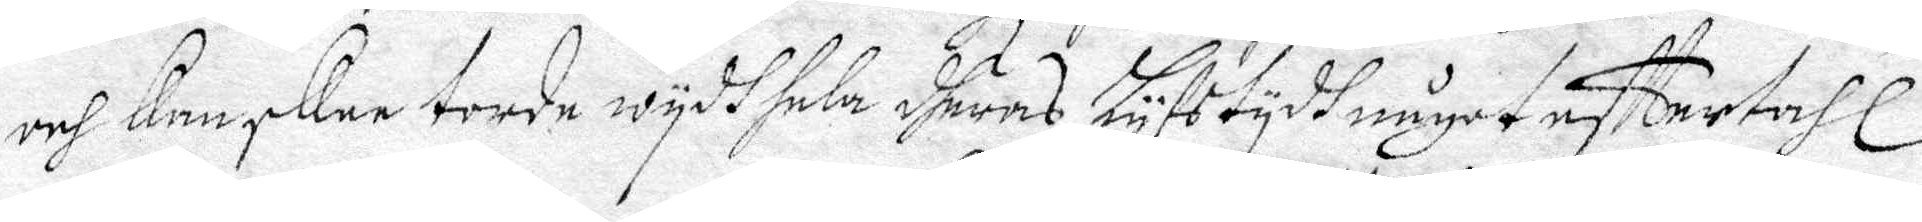och Kanskee torde wydh hela dheras Lyfstydh något efftertahl
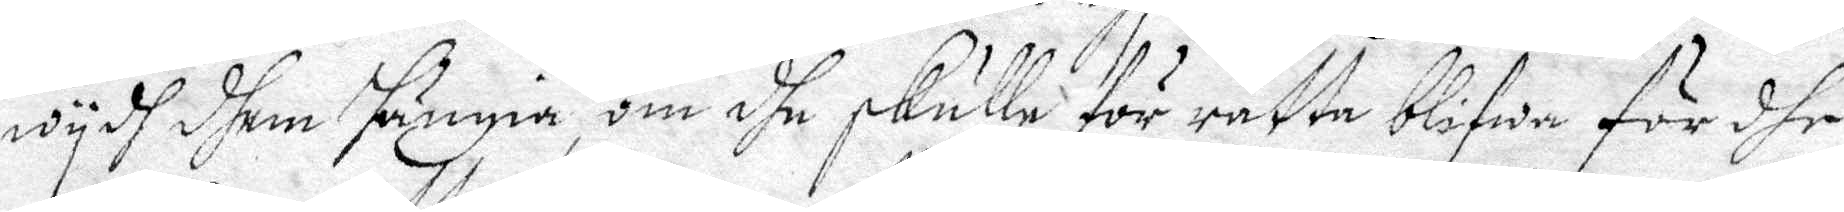wydh dhem hängia, om dhe skulle för rätta blifwa för dhe,
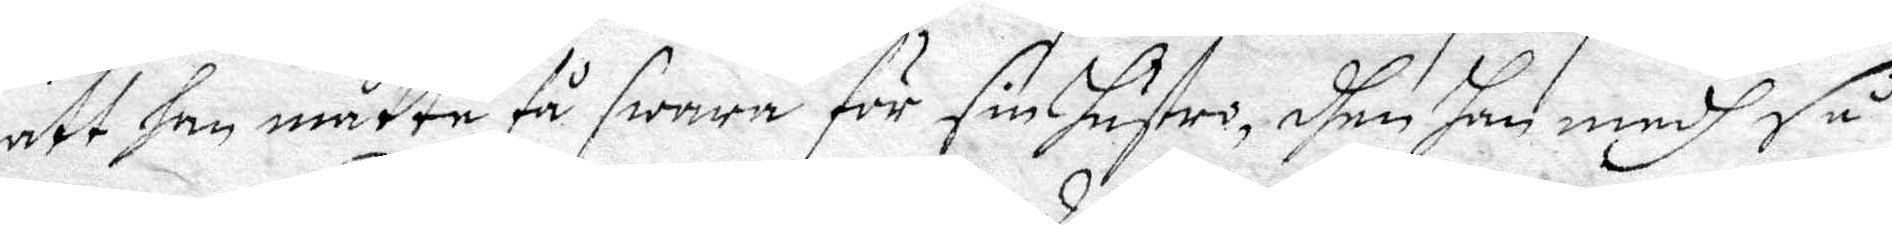att han måtte få swara för sin hustro, dhen han medh så
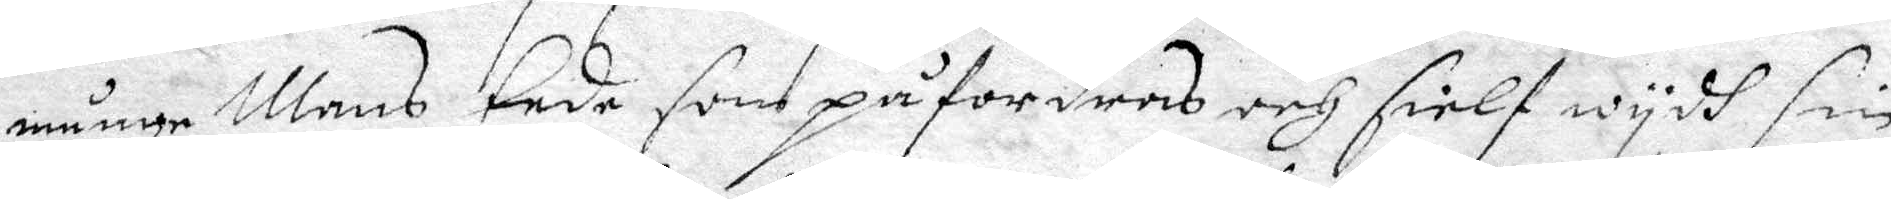månge Mans Eede som påfordras och sielf wydh sin 
